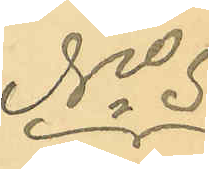No 5.
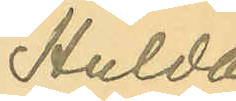Hulda
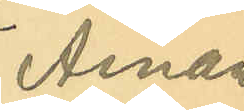Aman¬
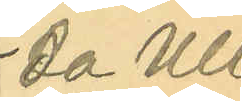da Ull¬
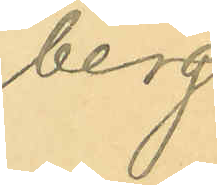berg.
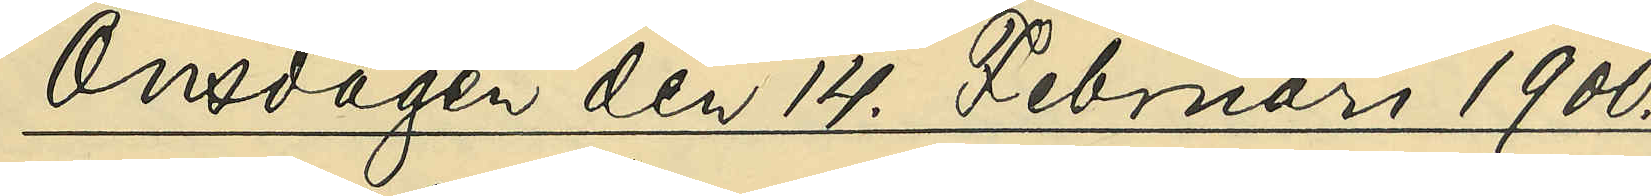Onsdagen den 14. Februari 1900.
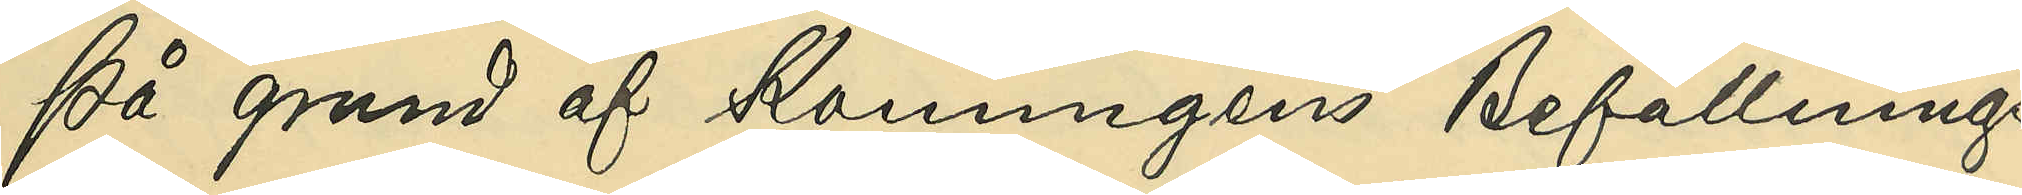På grund af Konungens Befallnings¬
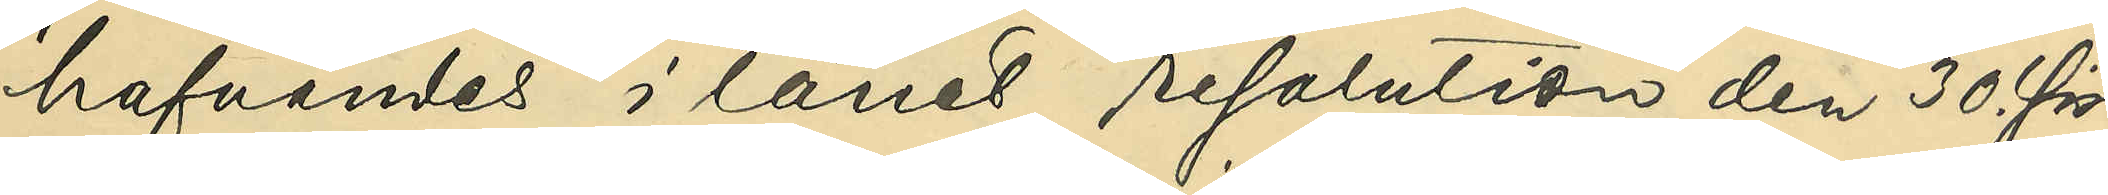hafvandes i länet resolution den 30. sist¬
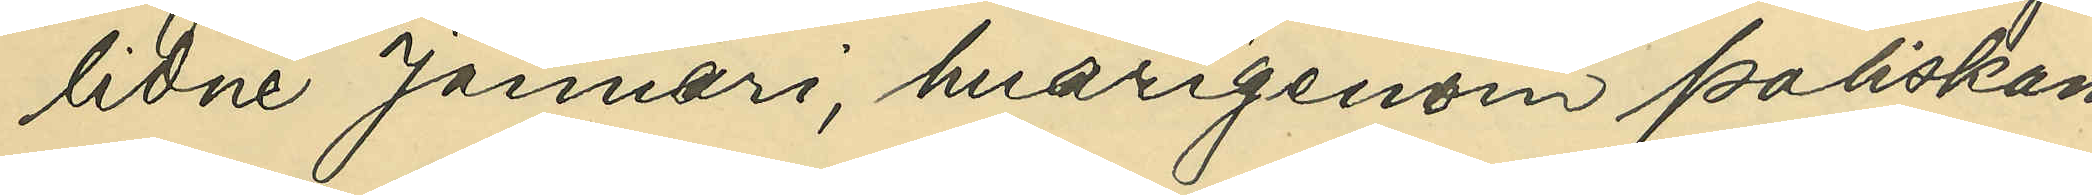lidne Januari, hvarigenom Poliskam¬
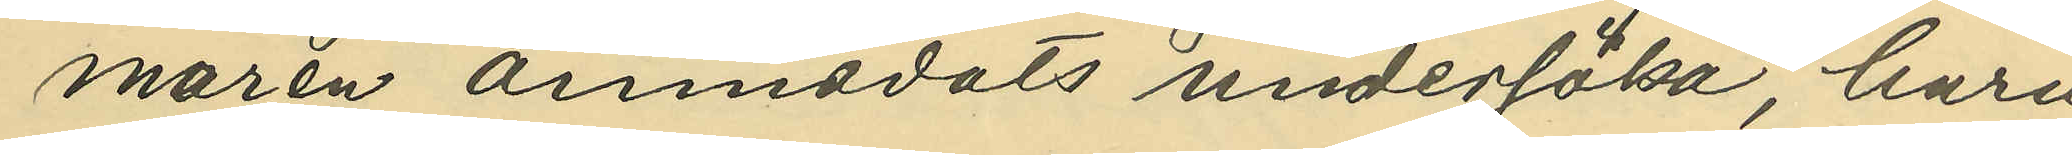maren anmodats undersöka, huru
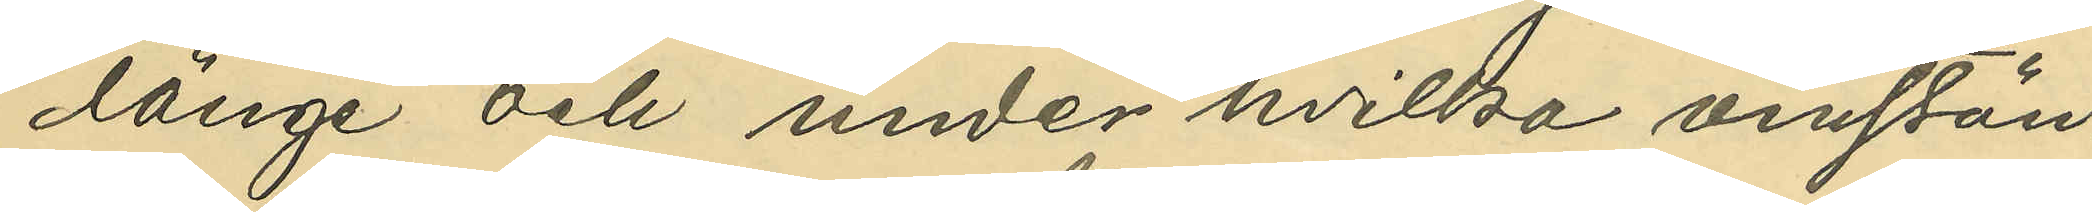länge och under hvilka omstän¬
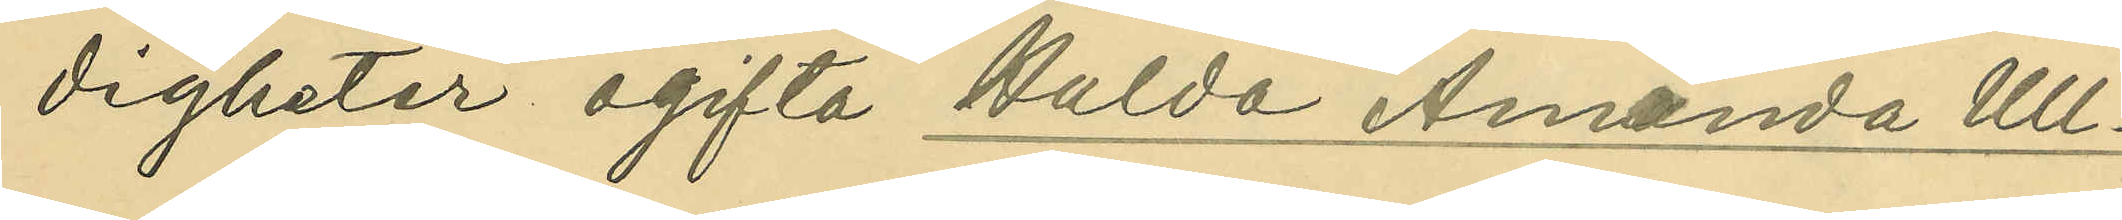digheter ogifta Hulda Amanda Ull¬
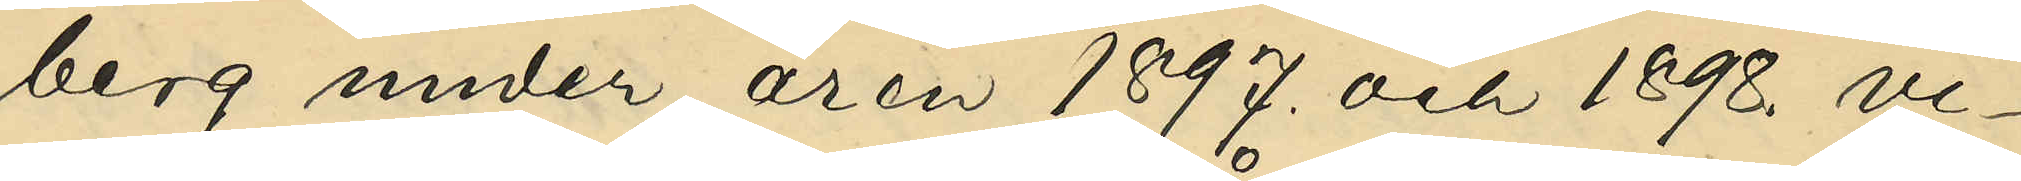berg under åren 1897. och 1898. vi¬
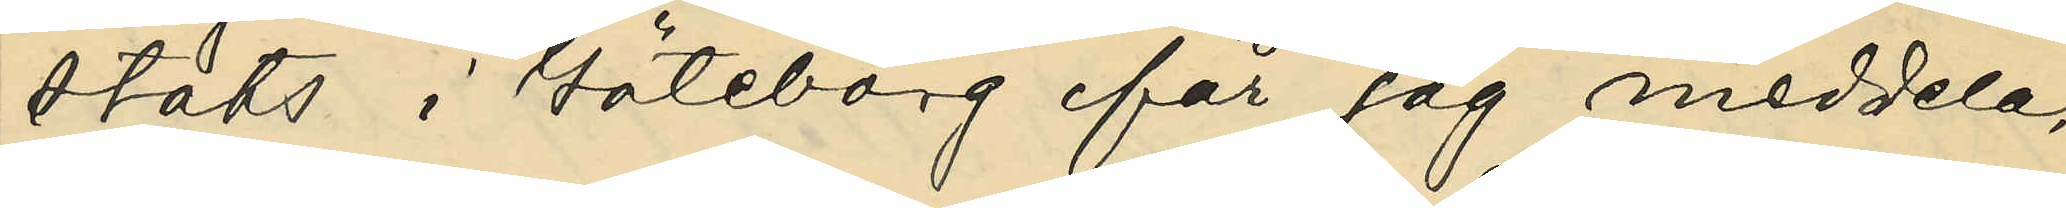stats i Göteborg får jag meddela,
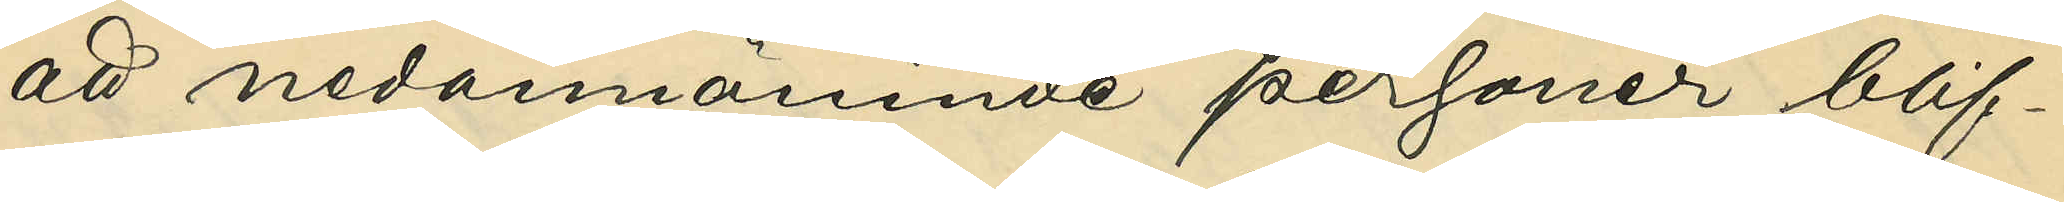att nedannämnda personer blif¬
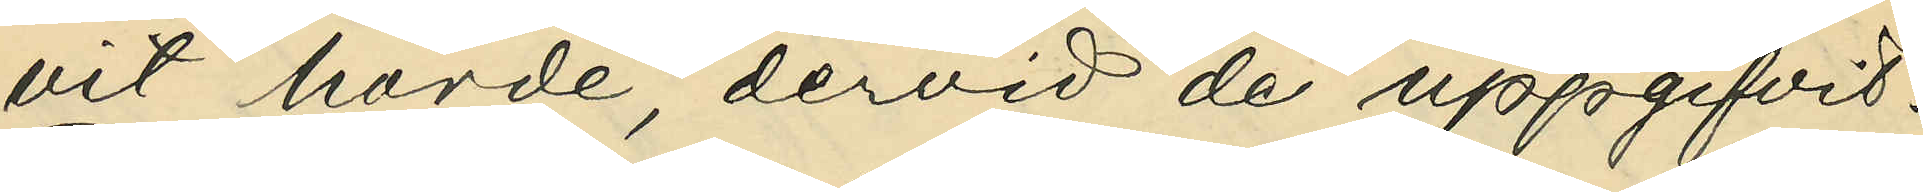vit hörde, dervid de uppgifvit:
